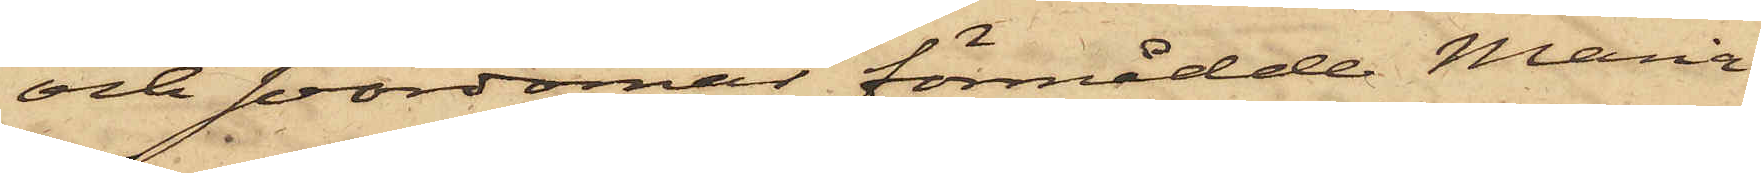och svordomar förmådde Maria
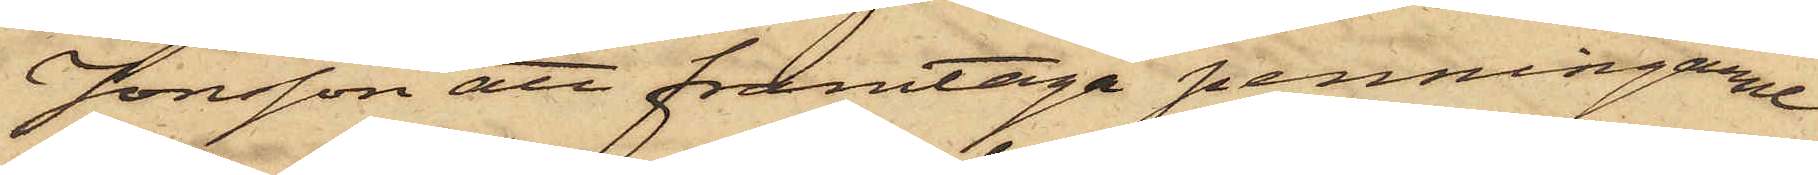Jonsson att framtaga penningarne
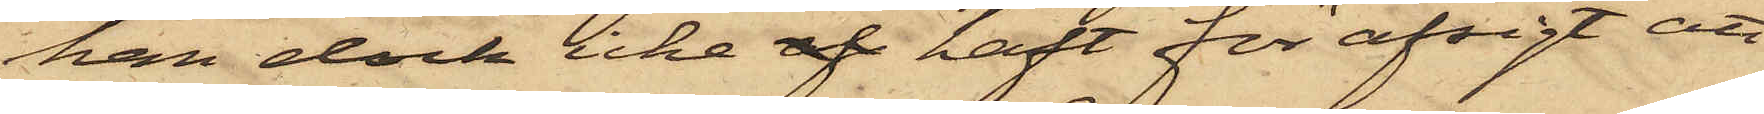han dock icke af haft för afsigt att
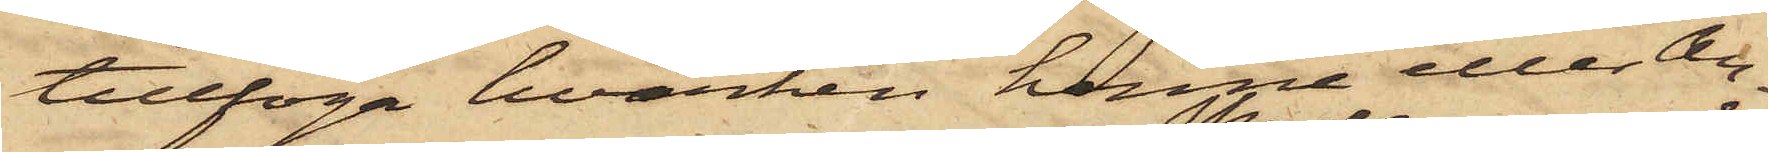tillfoga hvarken henne eller An¬
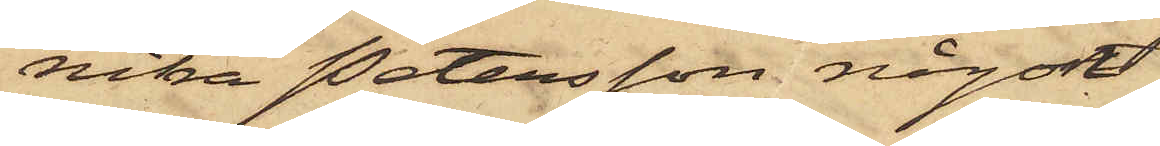nika Petersson någon
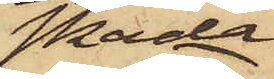skada
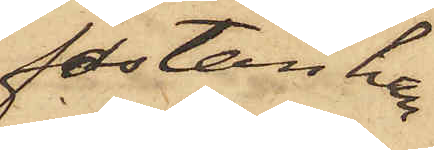fastän han
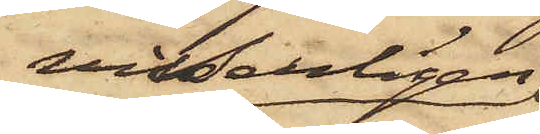visserligen
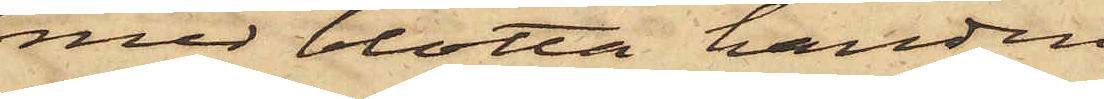med blotta handen
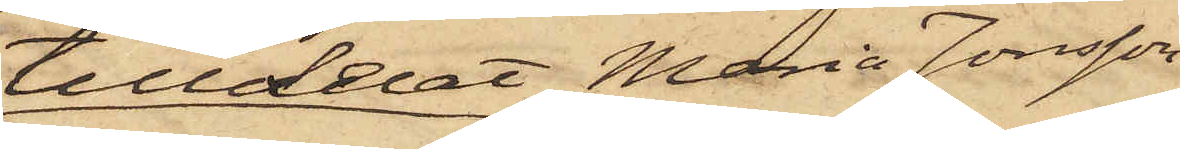tilldelat Maria Jonsson
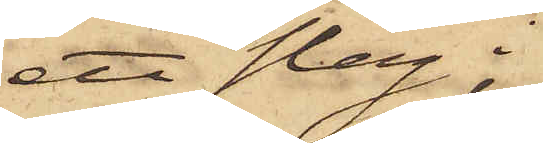ett slag i
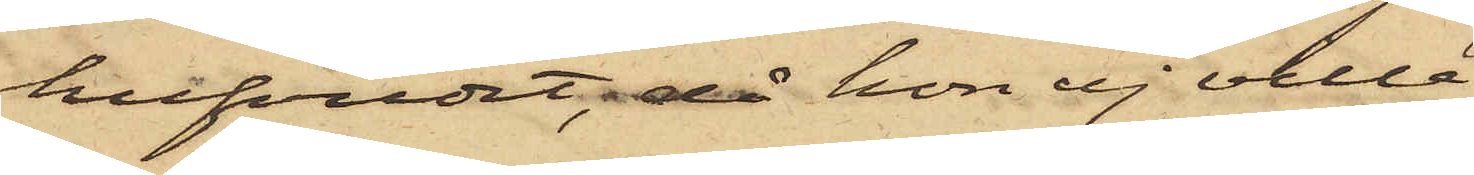hufvudet då hon ej ville
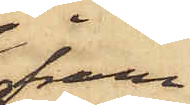fram¬
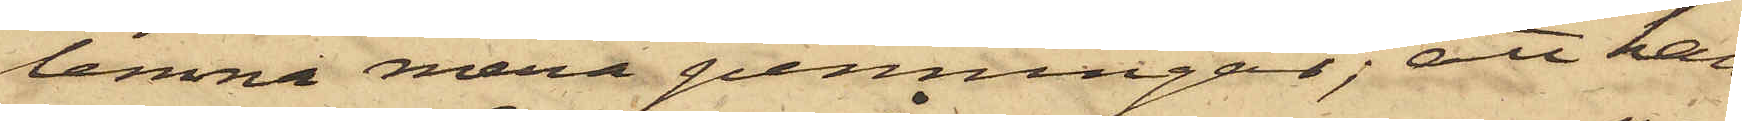lemna mera penningar; att han
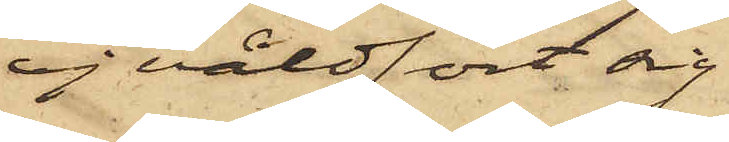ej våldfört sig
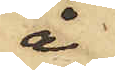å
